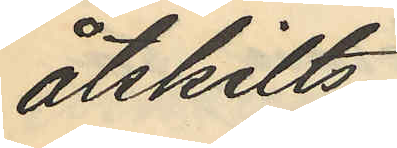åtskilts.
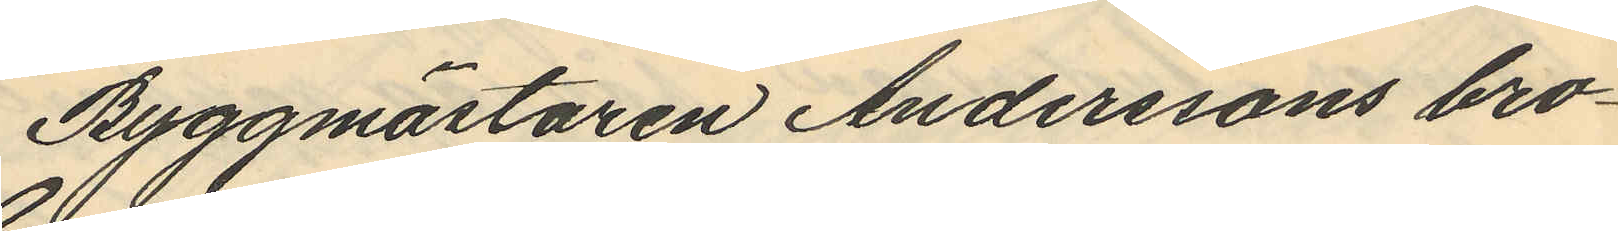Byggmästaren Anderssons bro¬
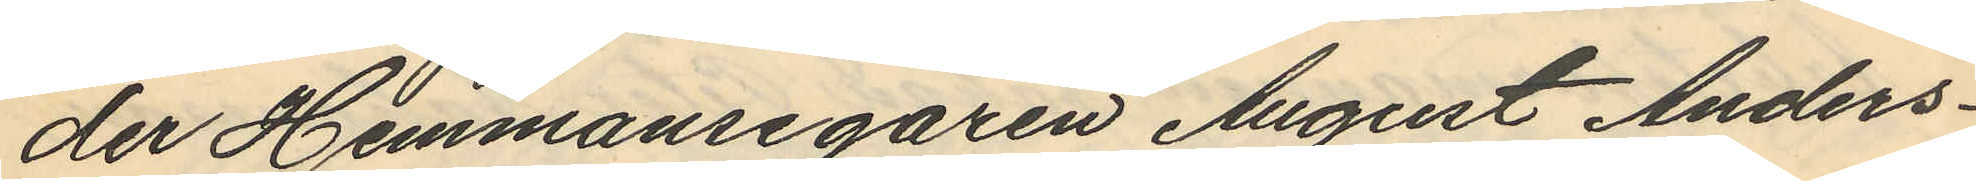der Hemmansegaren August Anders¬
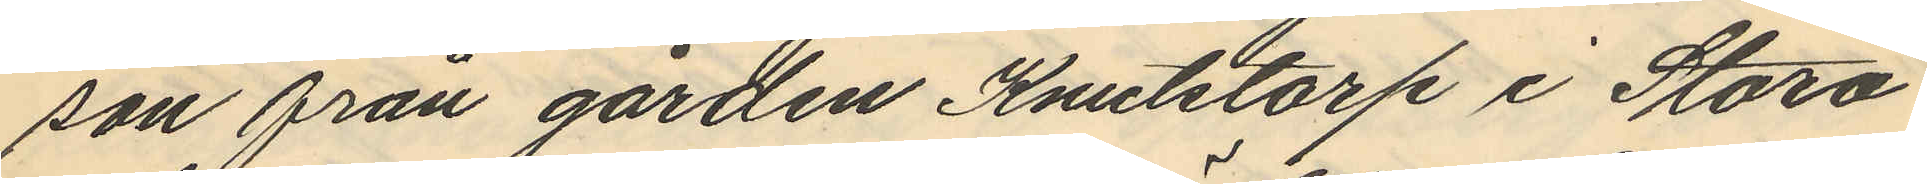son från gården Knutstorp i Stora
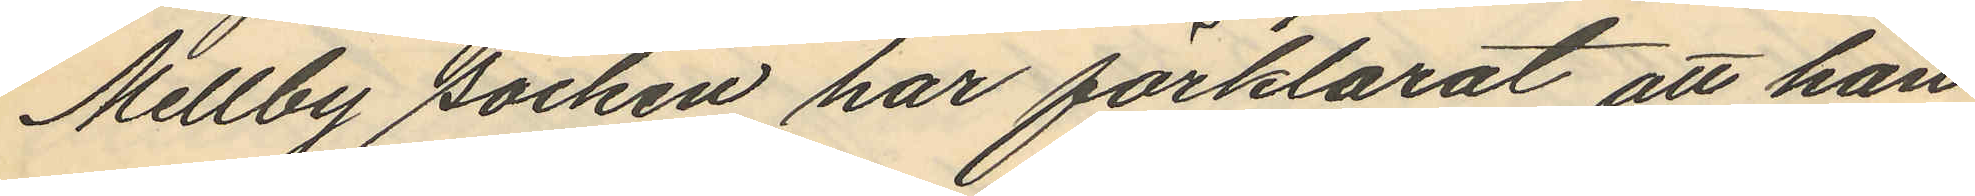Mellby socken har förklarat att han
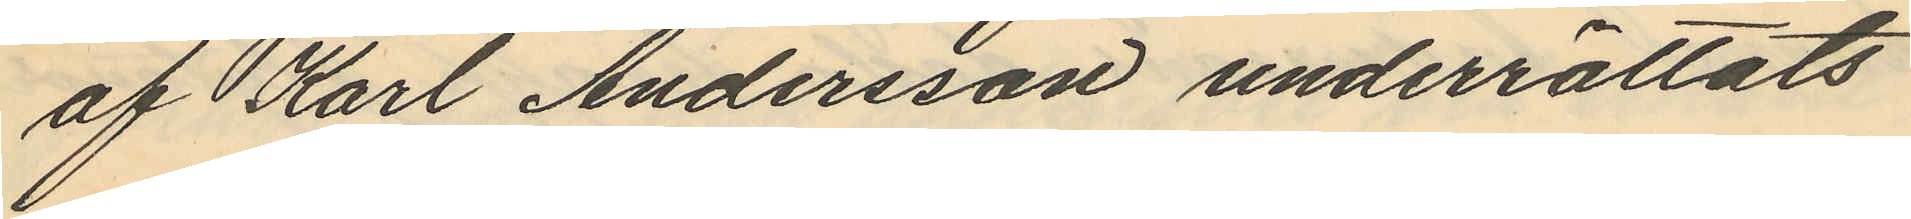af Karl Andersson underrättats
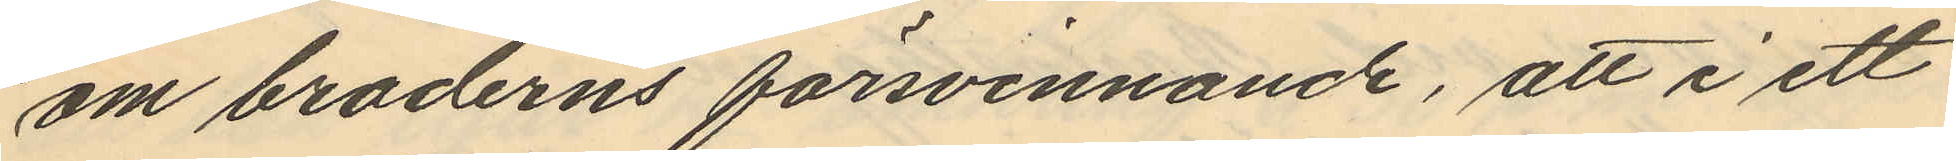om broderns försvinnande, att i ett
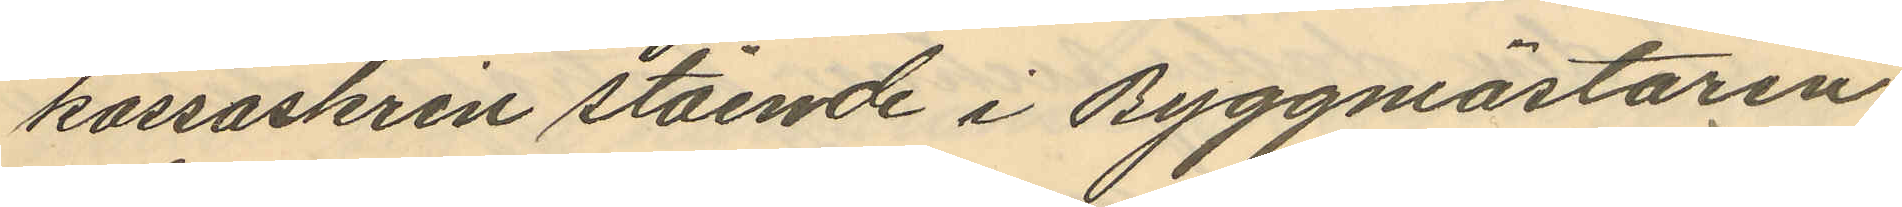kassaskrin stående i Byggmästaren
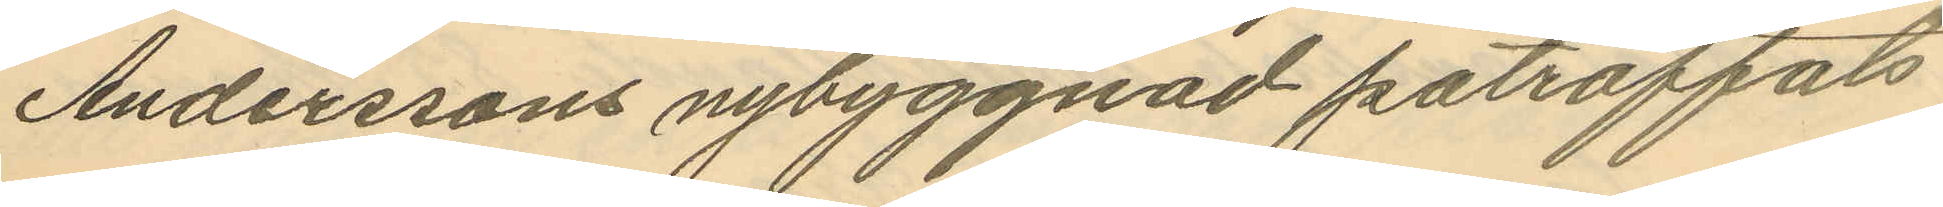Anderssons nybyggnad påträffats
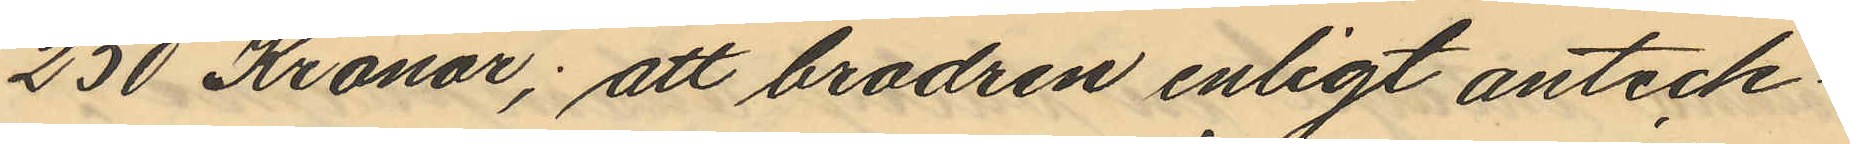250 Kronor; att brodren enligt anteck¬
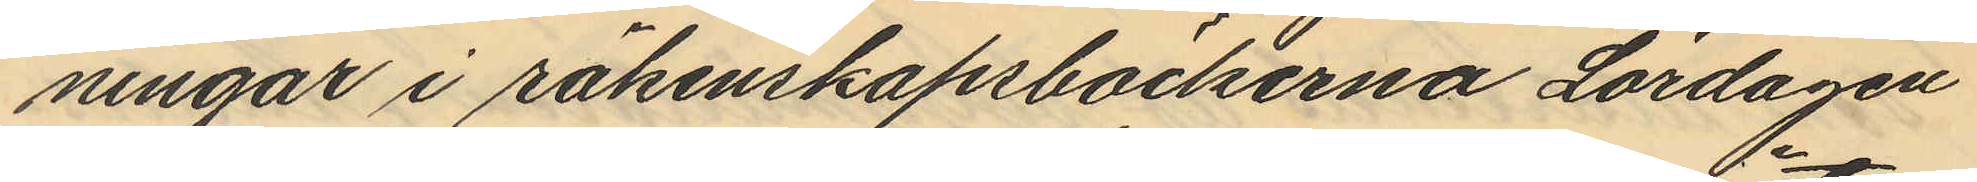ningar i räkenskapsböckerna Lördagen
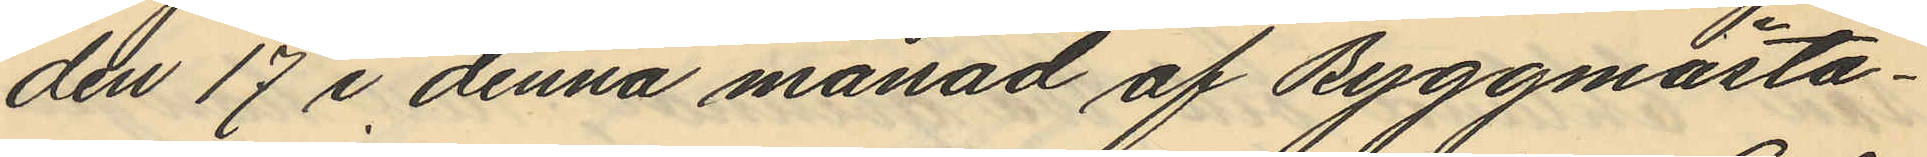den 17 i denna månad af Byggmästa¬
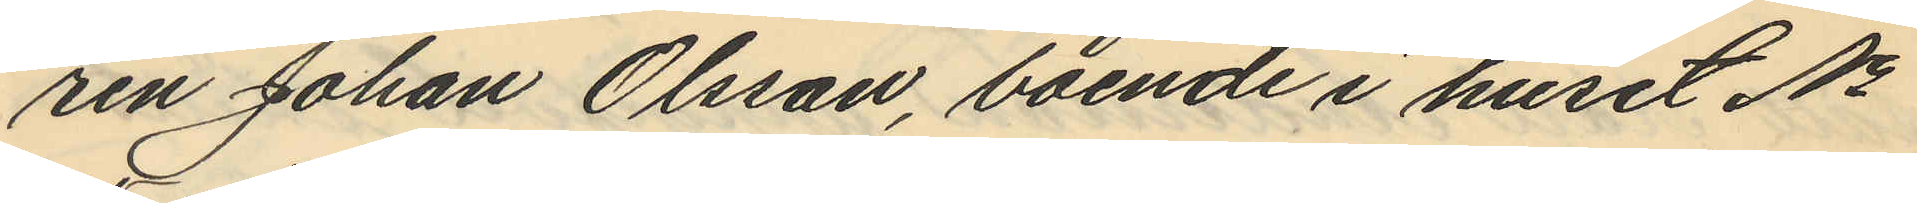ren Johan Olsson, boende i huset No
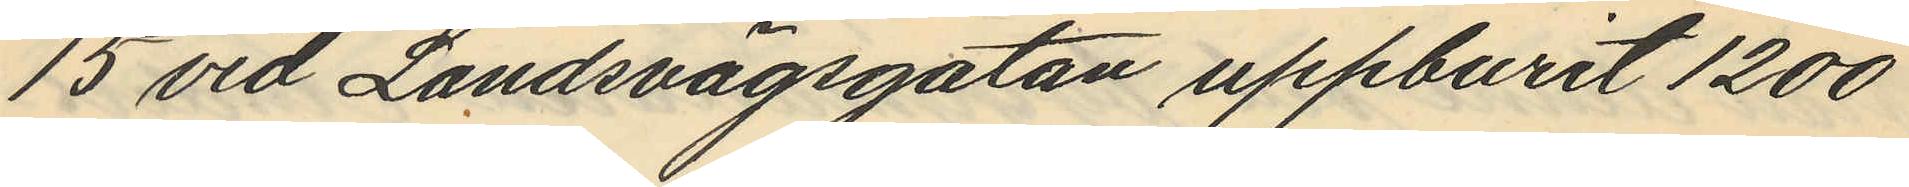15 vid Landsvägsgatan uppburit 1200
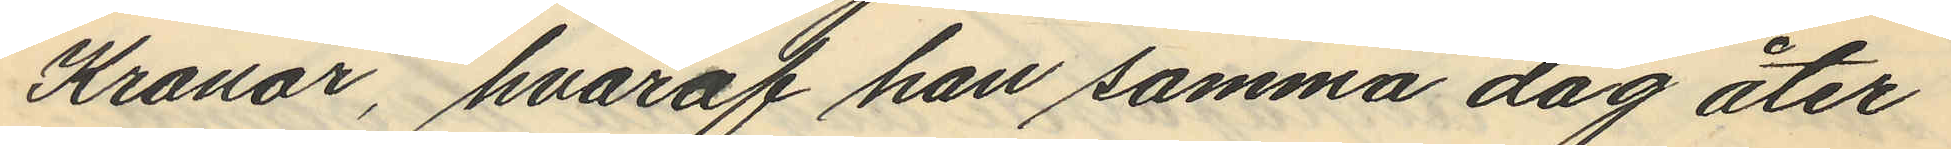Kronor, hvaraf han samma dag åter
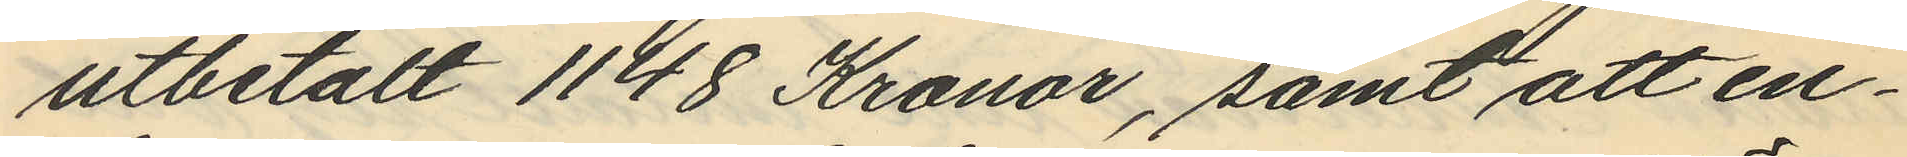utbetalt 1148 Kronor, samt att en¬
